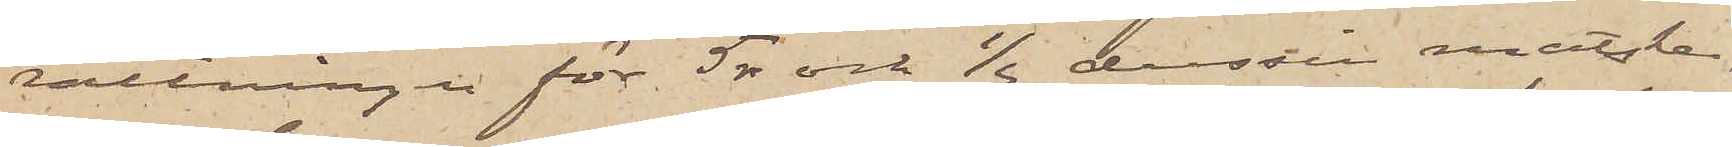rättningen för 5 rdr och 1/2 dussin matske¬
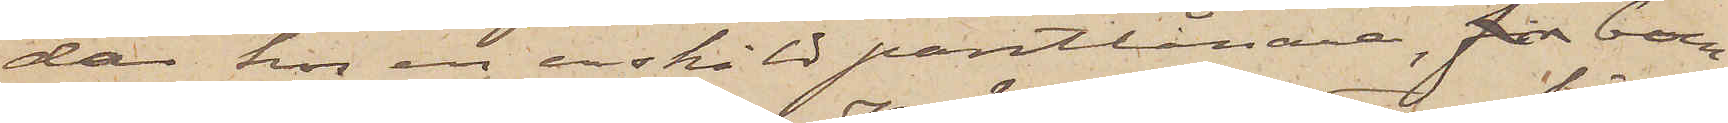dar hos en enskild pantlånare, för boen¬
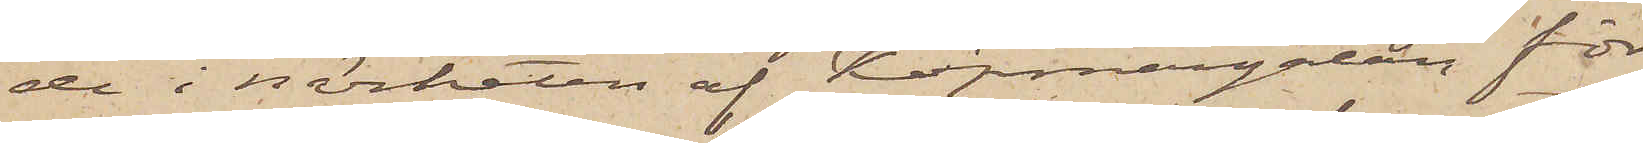de i närheten af Köpmangatan, för
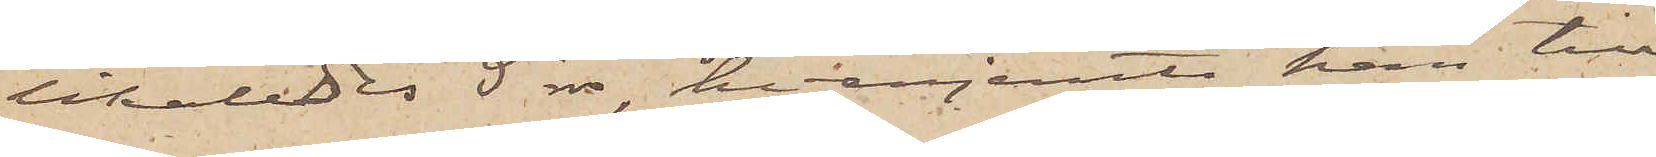likaledes 5 rdr, hvarjemte han till
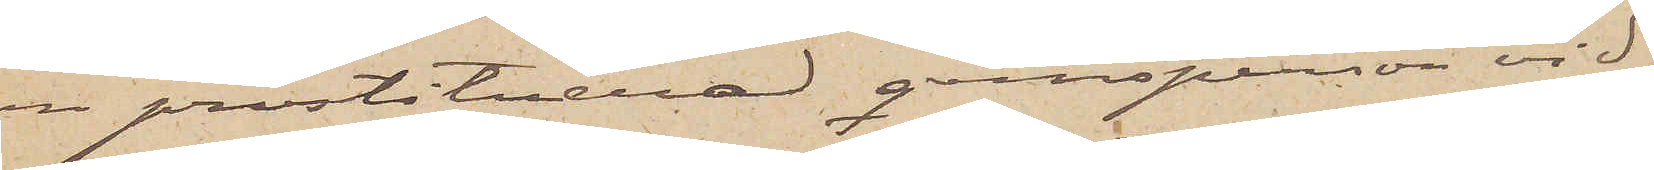en prostituerad qvinsperson vid
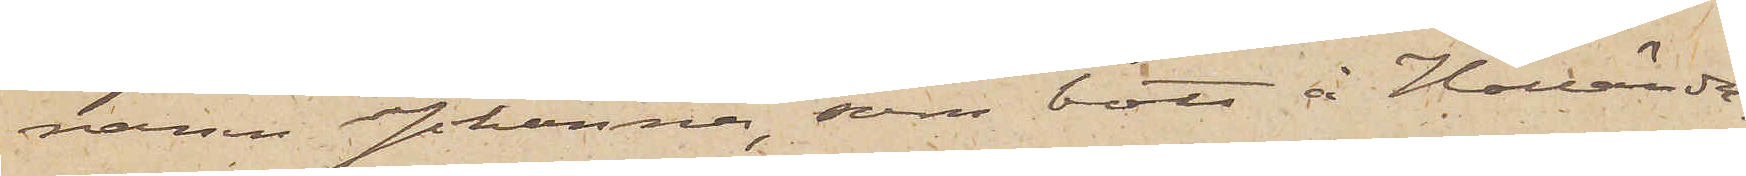namn Johanna, som bott å Hollända¬
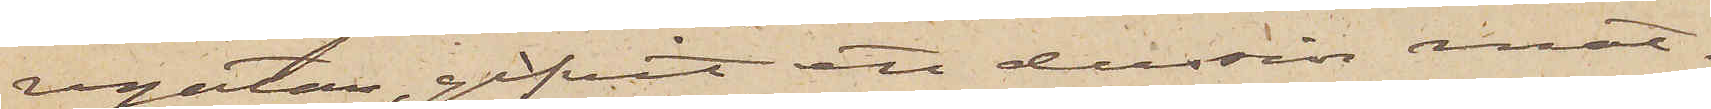regatan, gifvit ett dussin mat¬
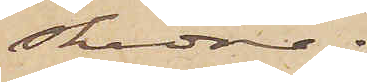skedar;
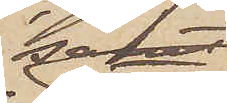samt
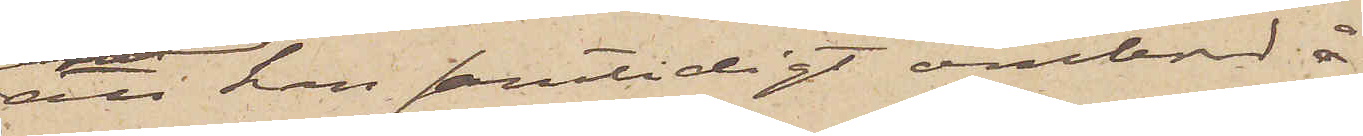att han samtidigt ombord å
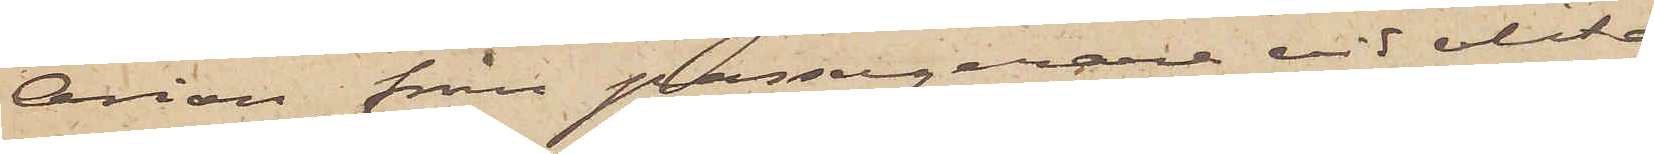Orion från passagerare vid olika
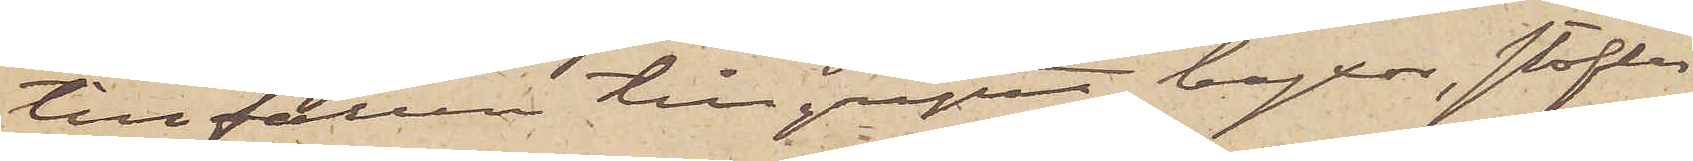tillfällen tillgripit byxor, stöflar
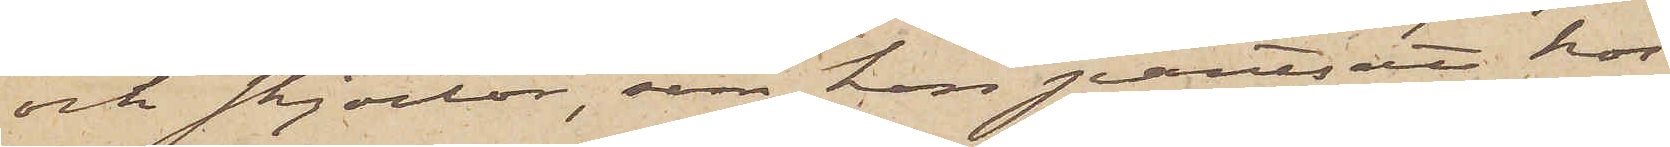och skjortor, som han pantsatt hos
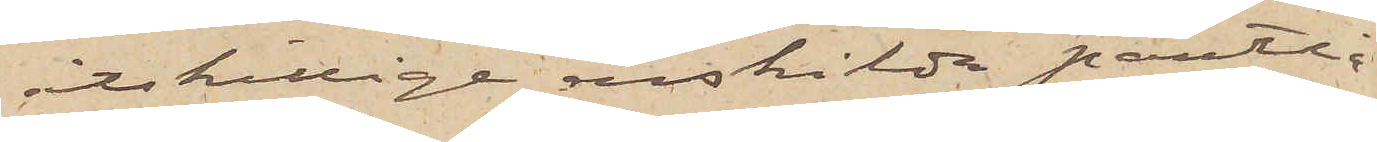åtskillige enskilda pantlå¬
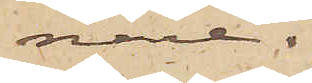nare.
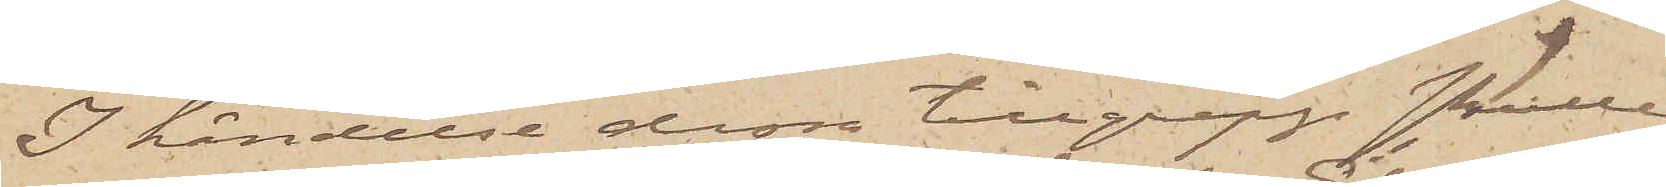I händelse dessa tillgrepp skulle
